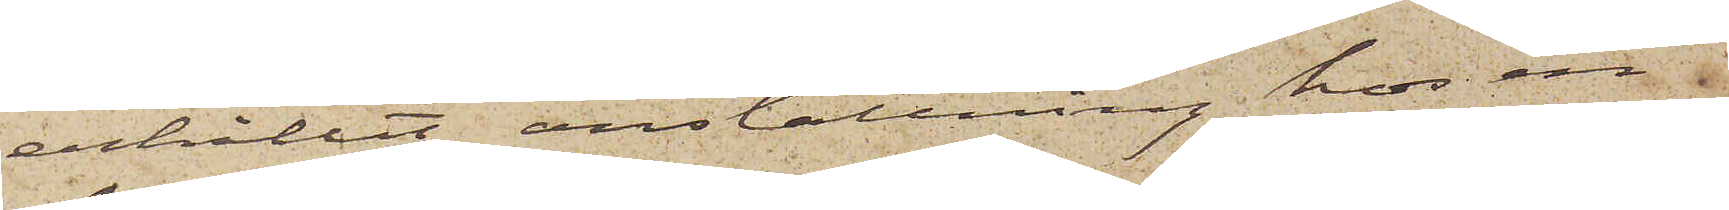erhållit anställning hos en 
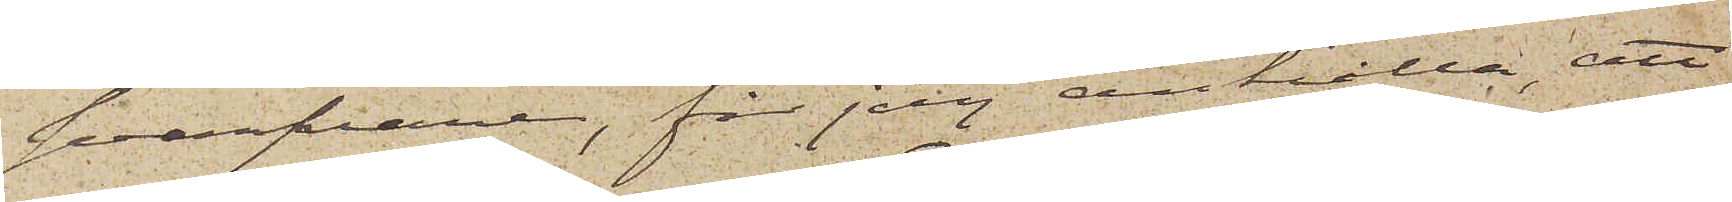svarfvare, får jag anhålla, att
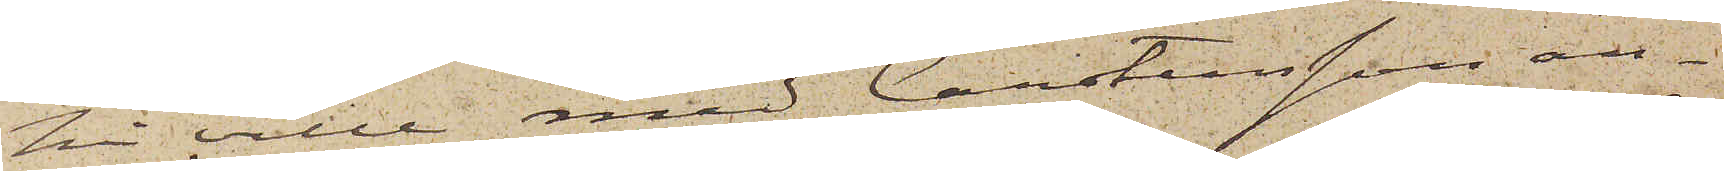Ni ville med Carstensson an¬
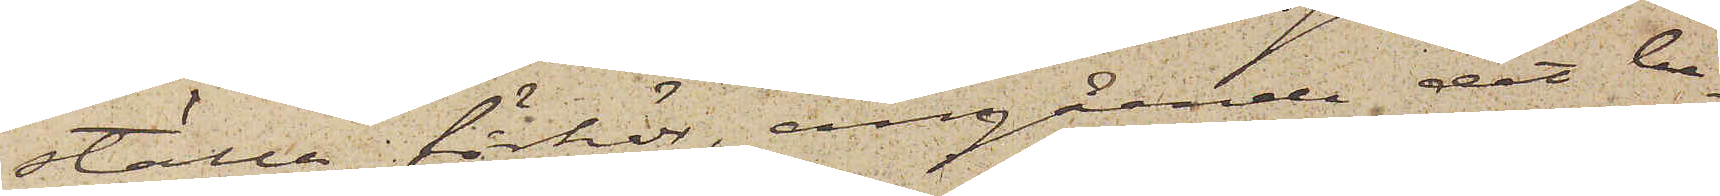ställa förhör, angående det be¬
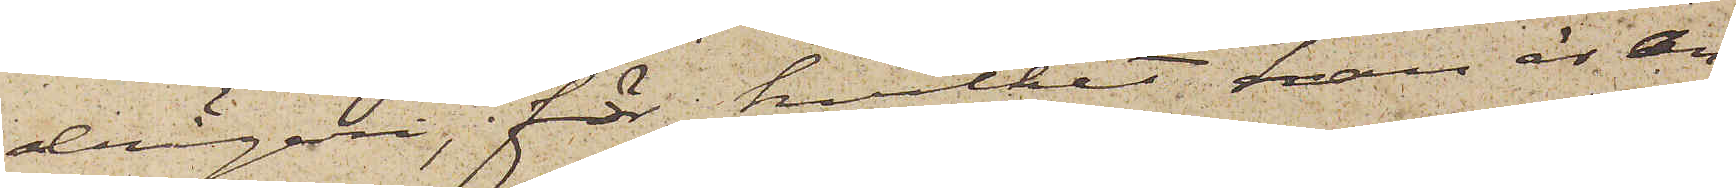drägeri, för hvilket han är an¬
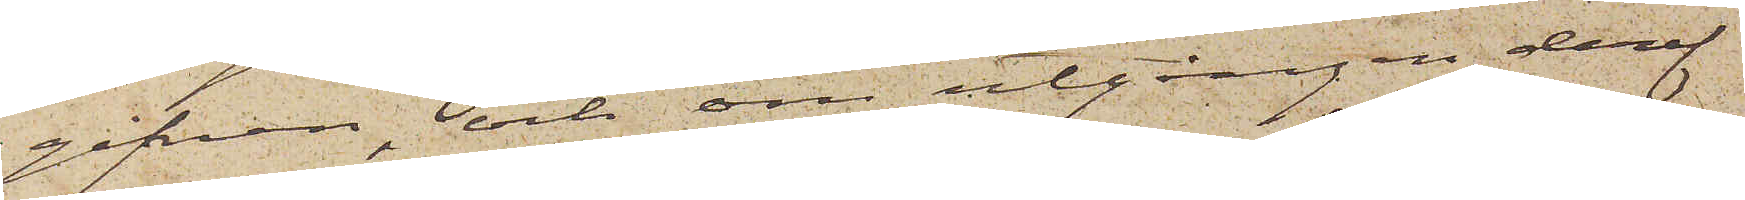gifven, och om utgången deraf
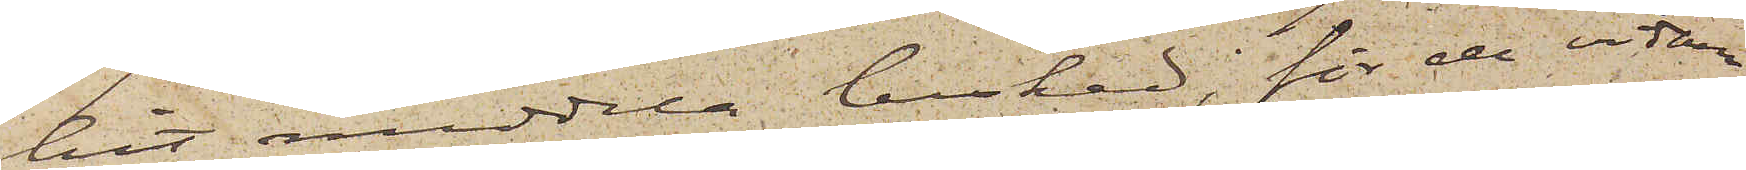hit meddela besked, för de vidare
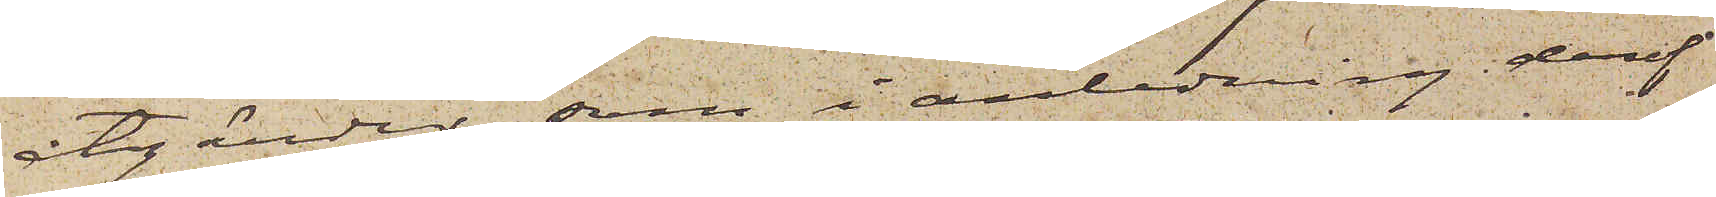åtgärder som i anledning deraf
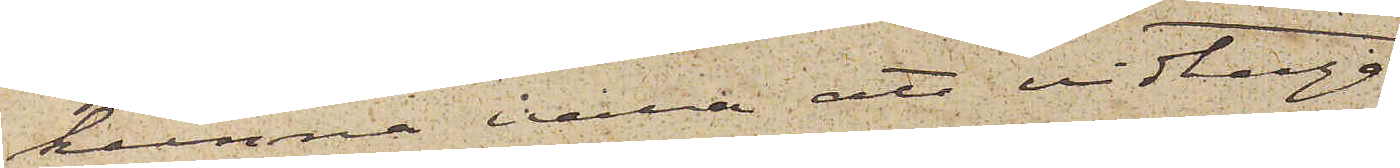kunna vara att vidtaga.
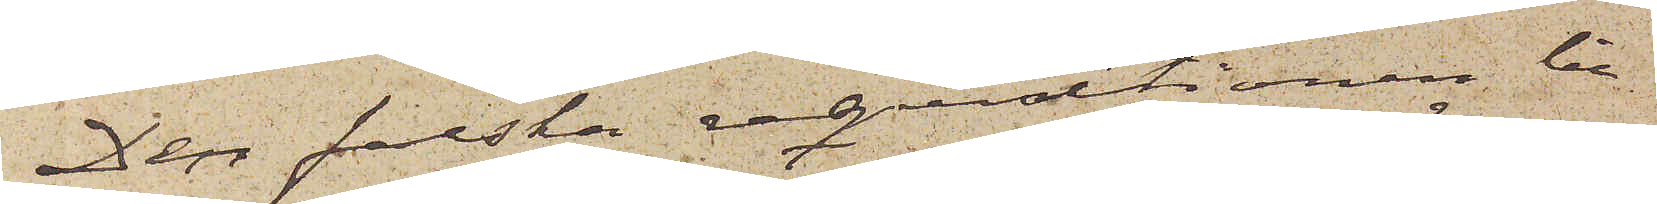Den falska reqvistionen bi¬
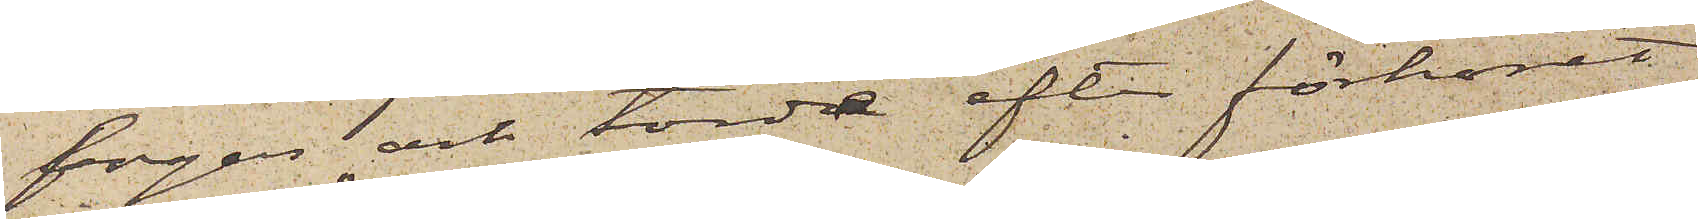fogas och torde efter förhöret
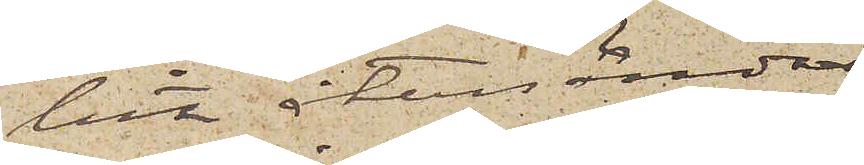hit återsändas.
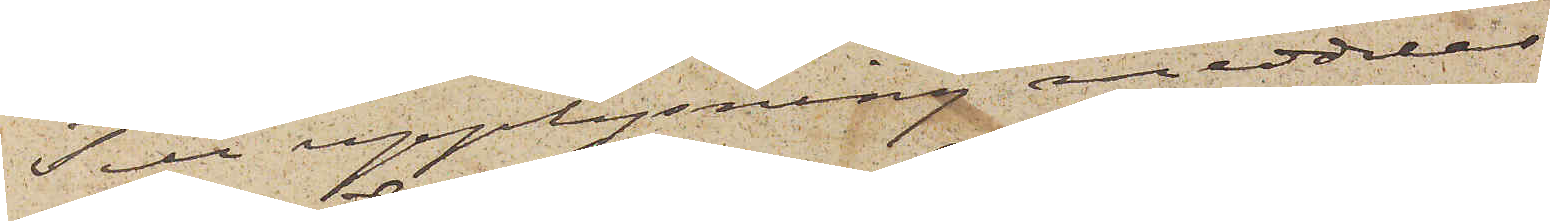Till upplysning meddelas
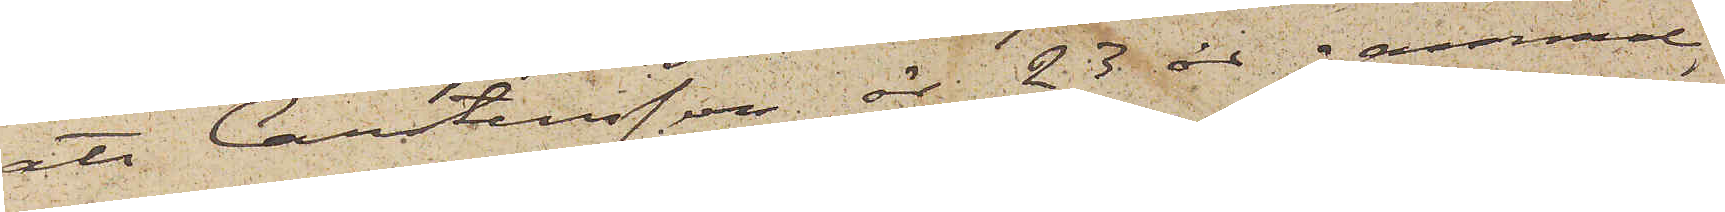att Carstensson är 23 år gammal
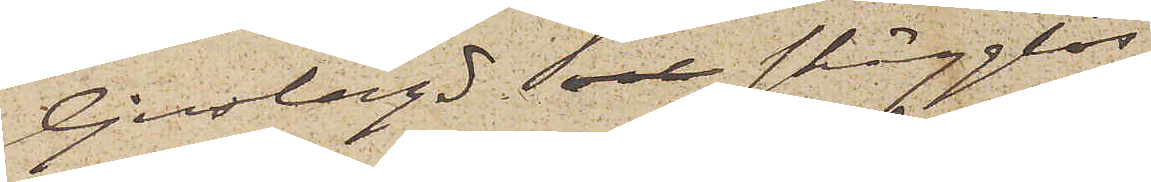ljuslagd och skägglös
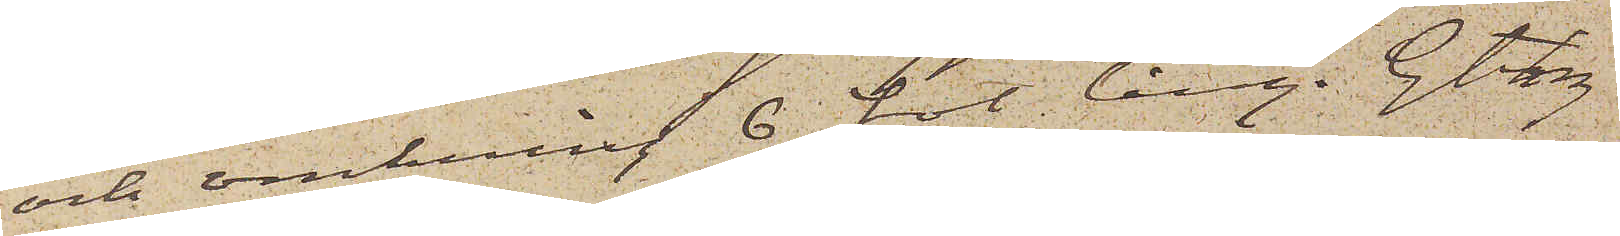och omkring 6 fot lång. Gtbg
